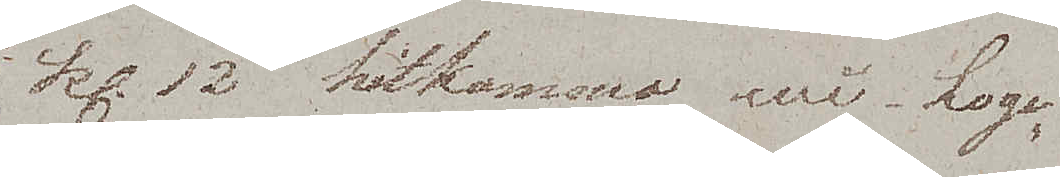kl. 12 hitkommo wi. Loge¬
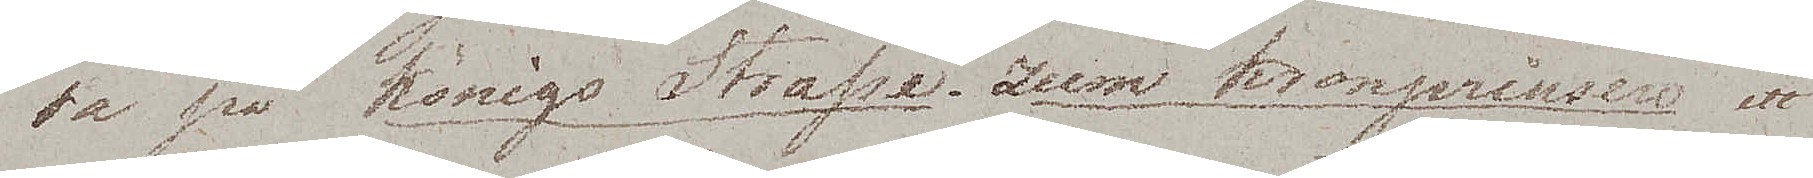ra på Königs Strasse. Zum Kronprinsen ett
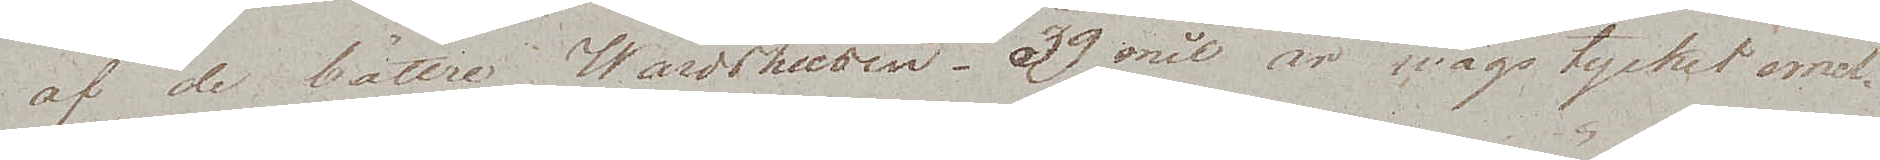af de bättre Wärdshusen. 39 mil är wägstycket emel¬
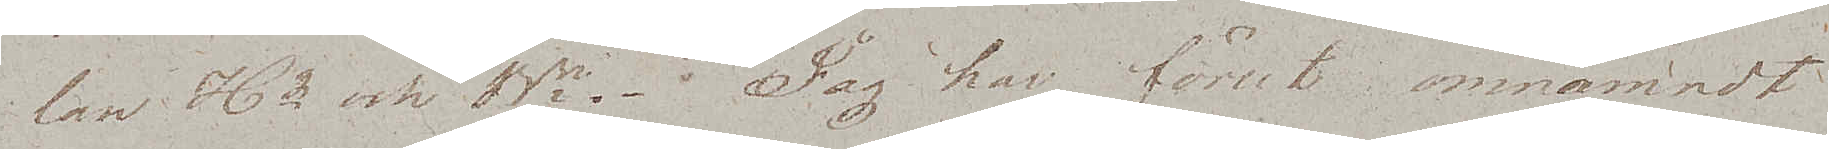lan Hg och Bn. Jag har förut omnämnt
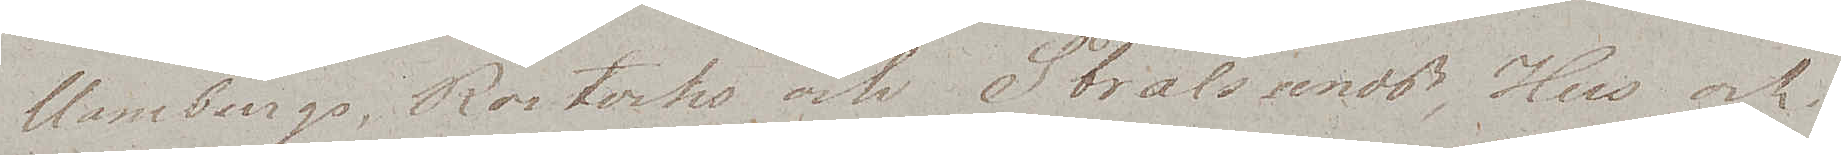Hamburgs, Rostocks och Stralsunds, Hus och
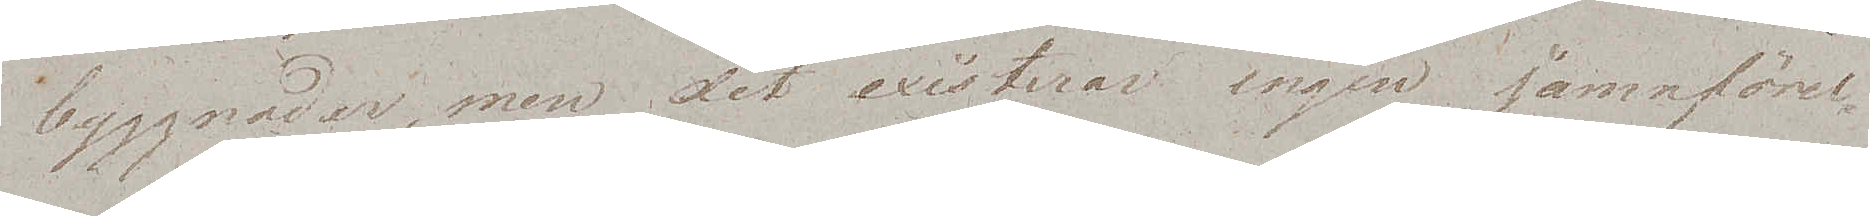byggnader, men det existerar ingen jämnförel¬
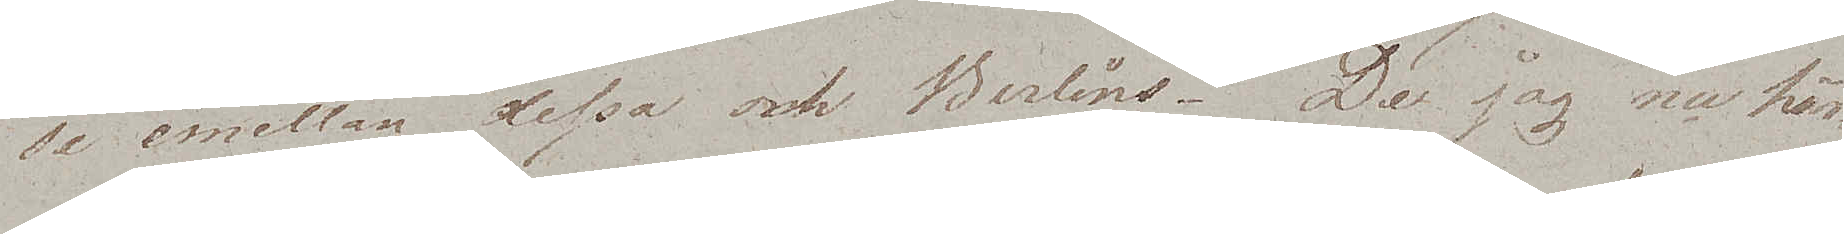se emellan dessa och Berlins. De jag nu här¬
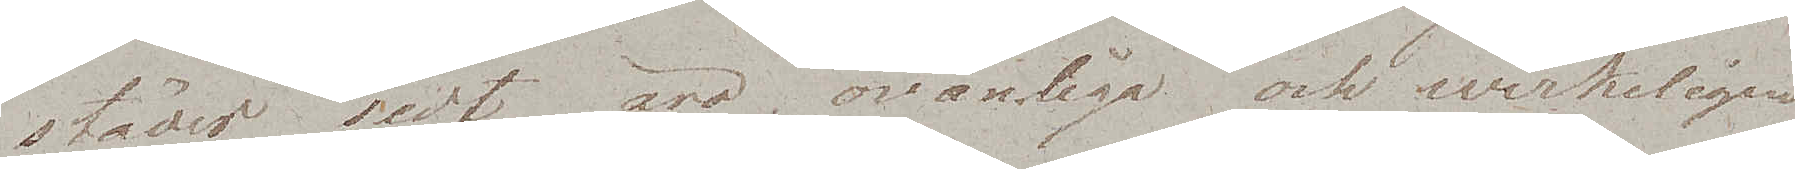städes sedt äro ovanliga och werkeligen
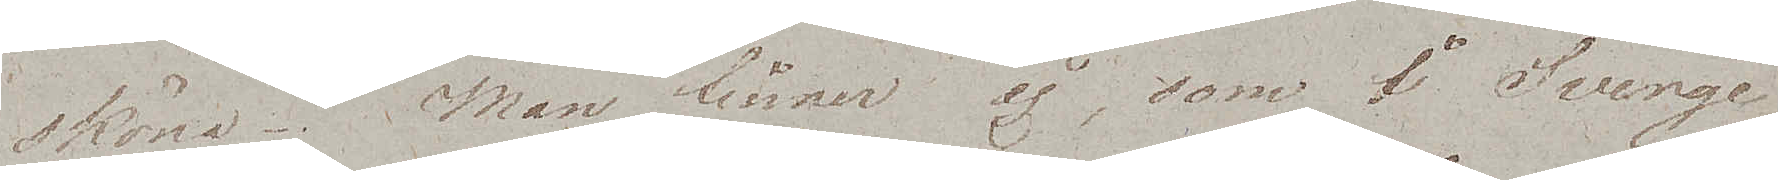sköna. Man finner ej, som i Sverge
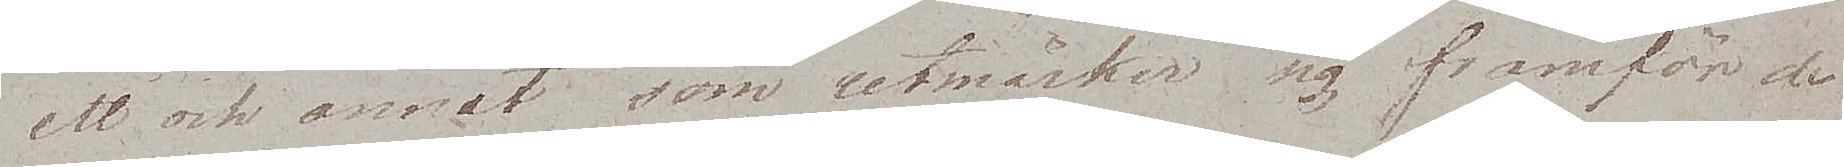ett och annat som utmärker sig framför de
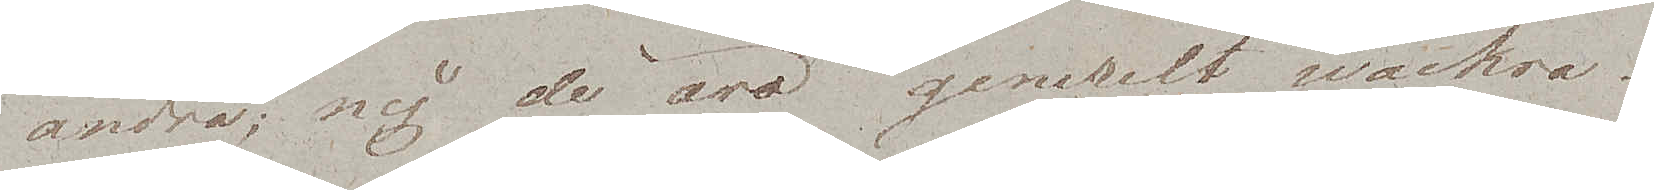andra; nej de äro generelt wackra.
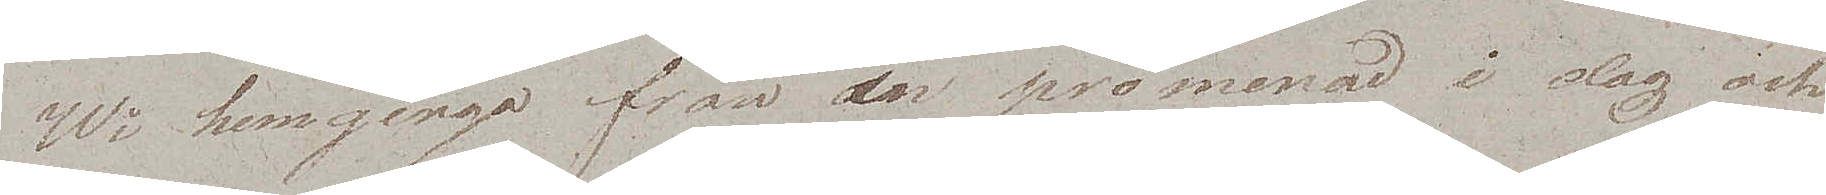Wi hemgingo från en promenad i dag och
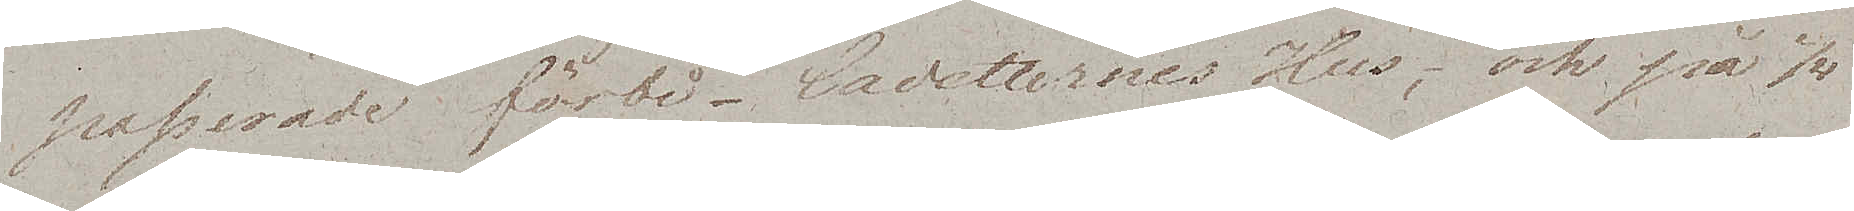passerade förbi Cadetternes Hus,  och på 1/4
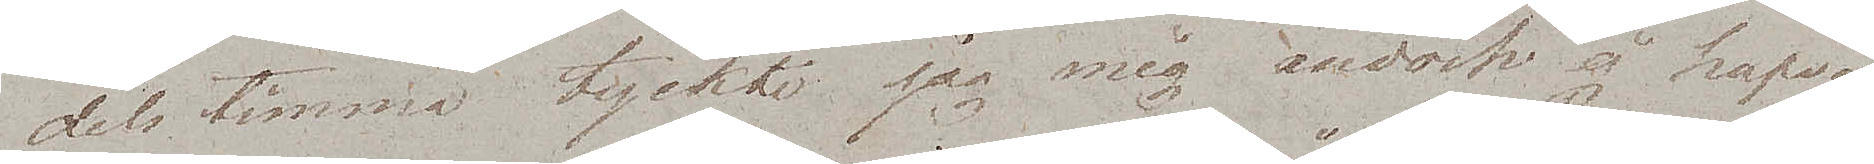dels timma tyckte jag mig ändock ej hafva
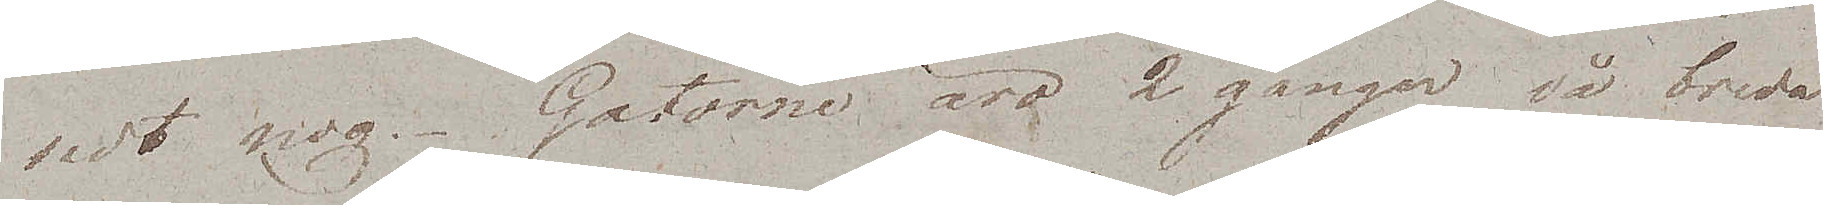sedt nog. Gatorne äro 2 gånger så breda
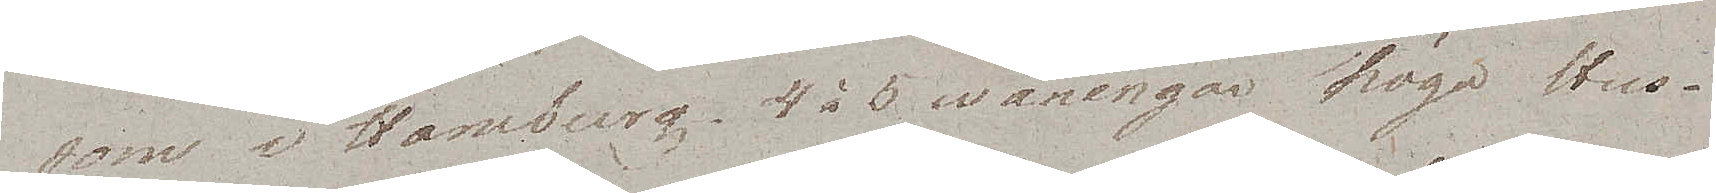som i Hamburg, 4 à 5 wåningar höga Hus.
